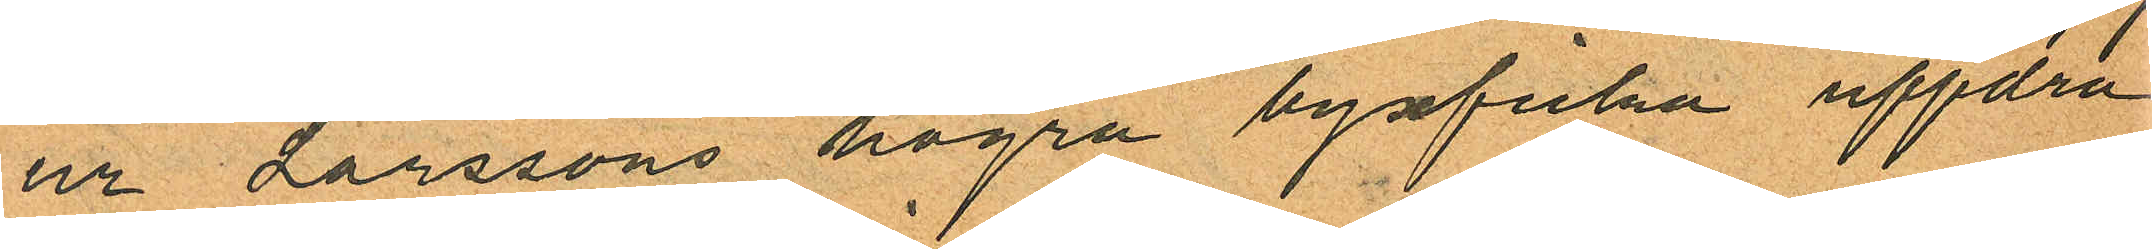ur Larssons högra byxficka uppdra¬
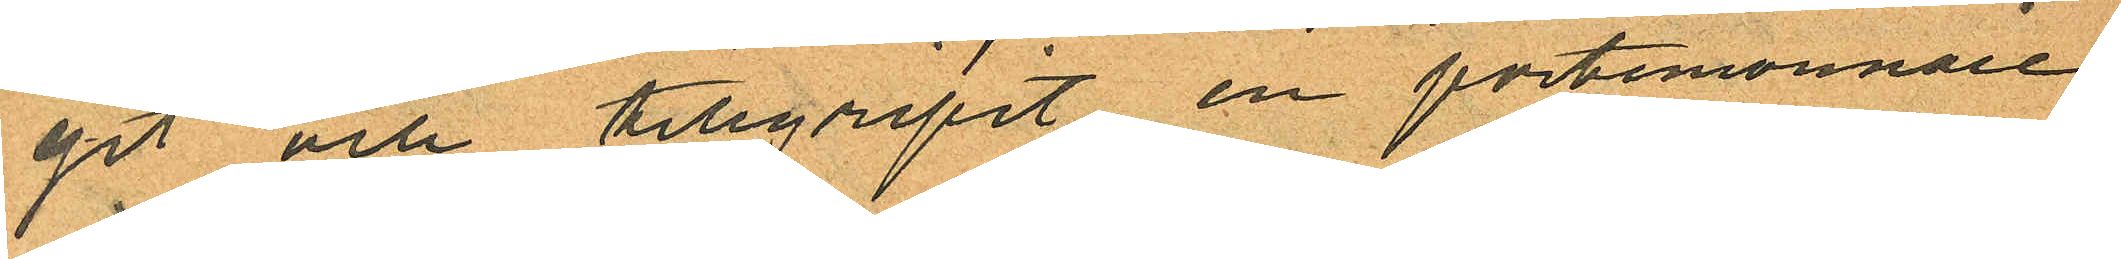git och tillgripit en portemonnaie
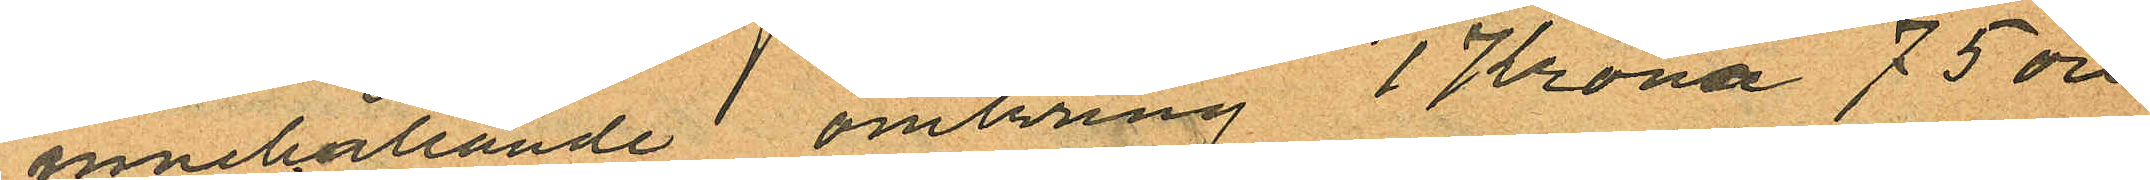innehållande omkring 1 Krona 75 öre
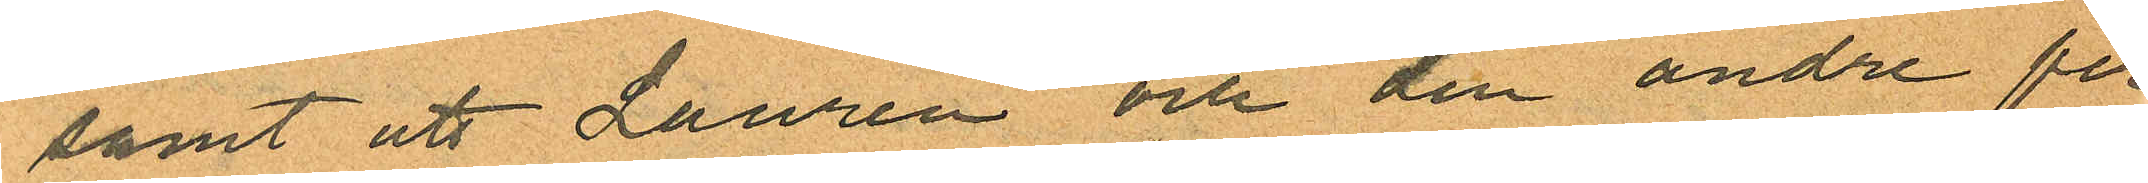samt att Laurén och den andre per
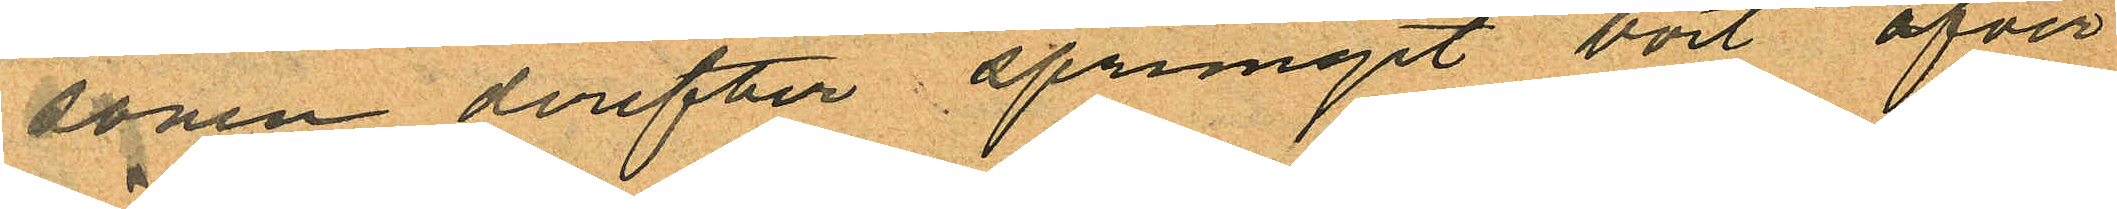sonen derefter sprungit bort öfver
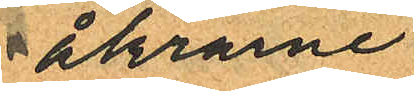åkrarne
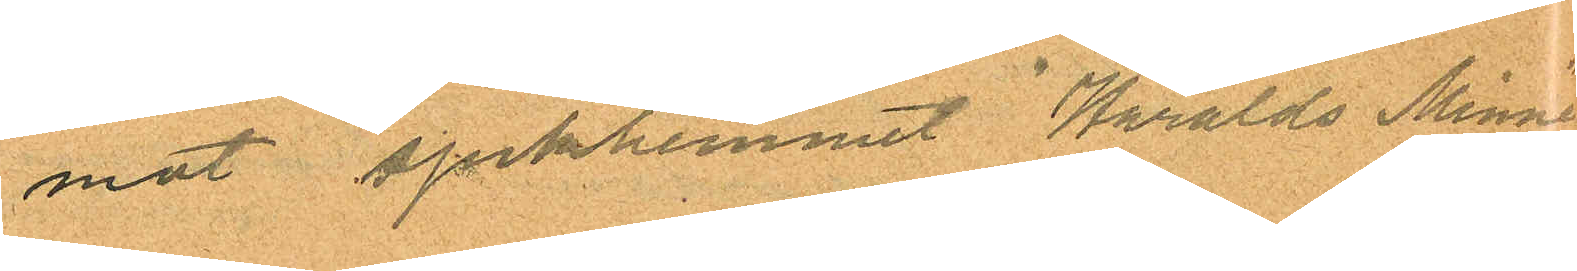mot sjukhemmet "Haralds Minne"
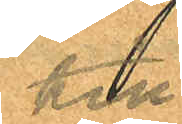till
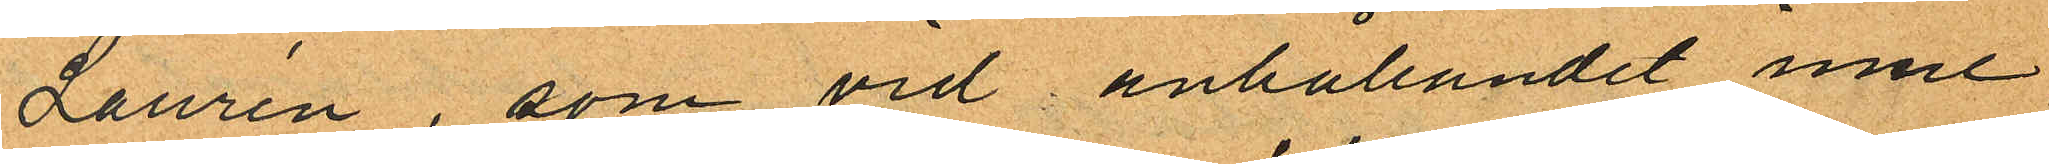Laurén, som vid anhållandet inne
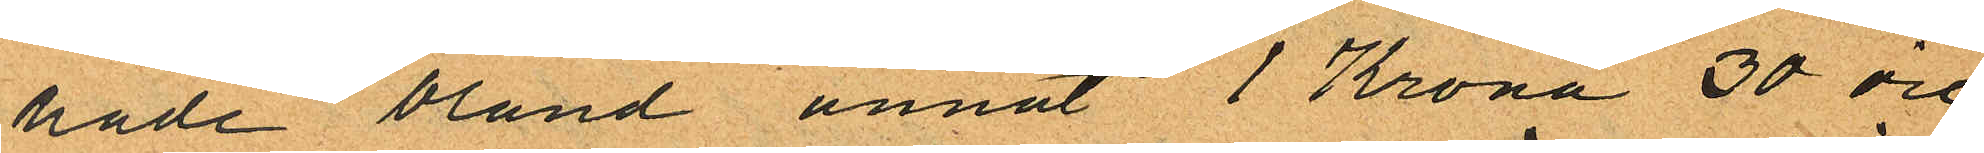hade bland annat 1 Krona 30 öre
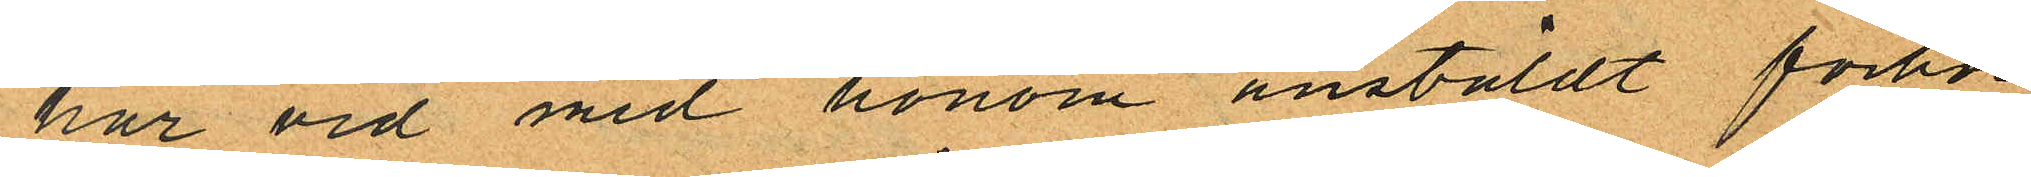har vid med honom anstäldt förhör
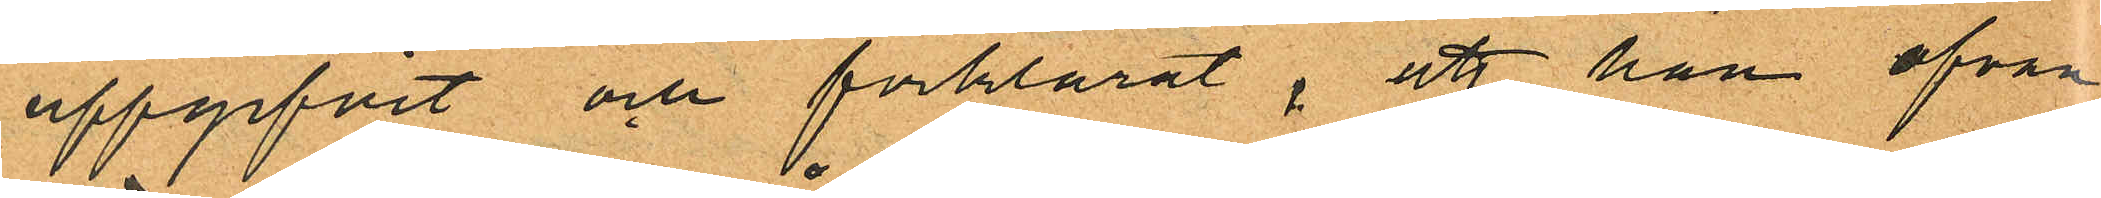uppgifvit och förklarat, att han ofvan
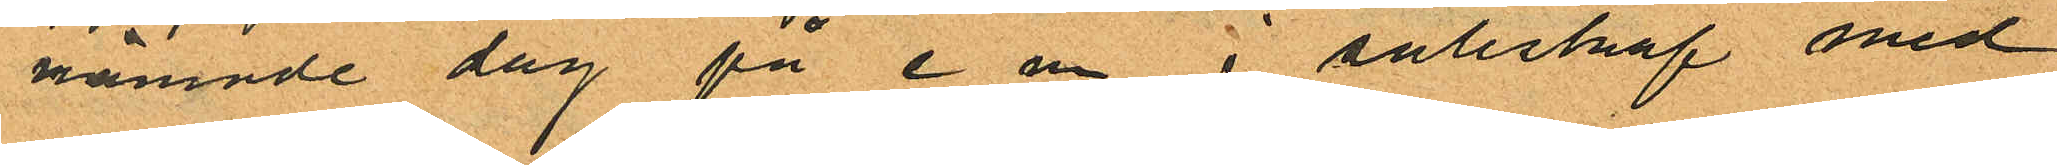nämnde dag på e m i sällskap med
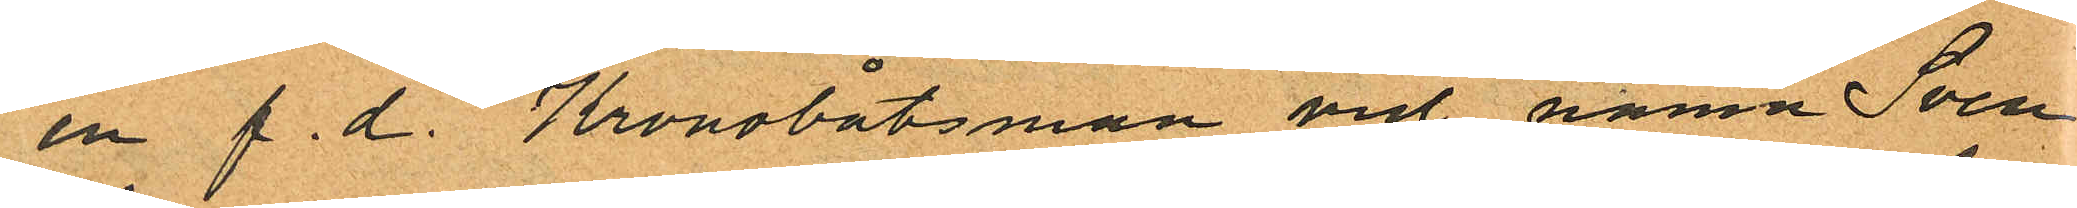en f. d. Kronobåtsman vid namn Sven
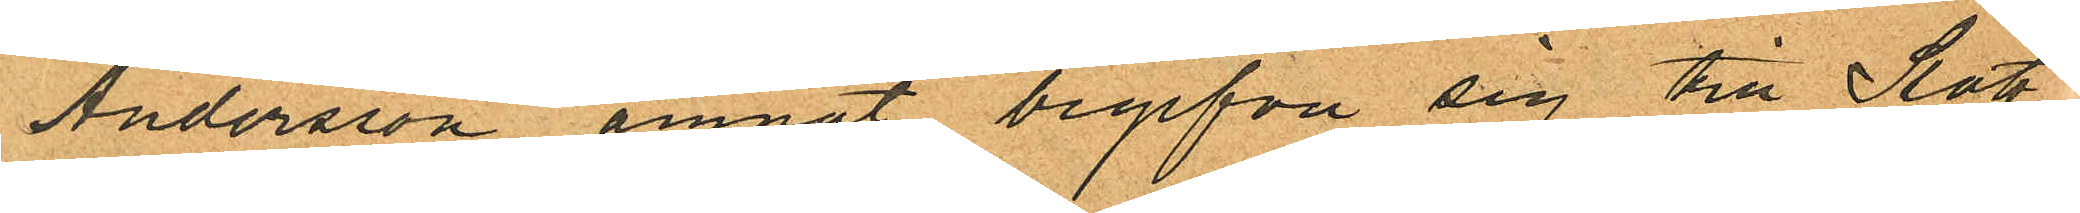Andersson ämnat begifva sig till Slott¬
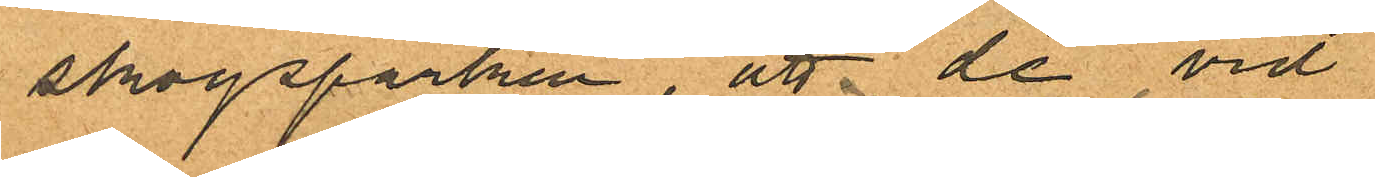skogsparken, att de vid
